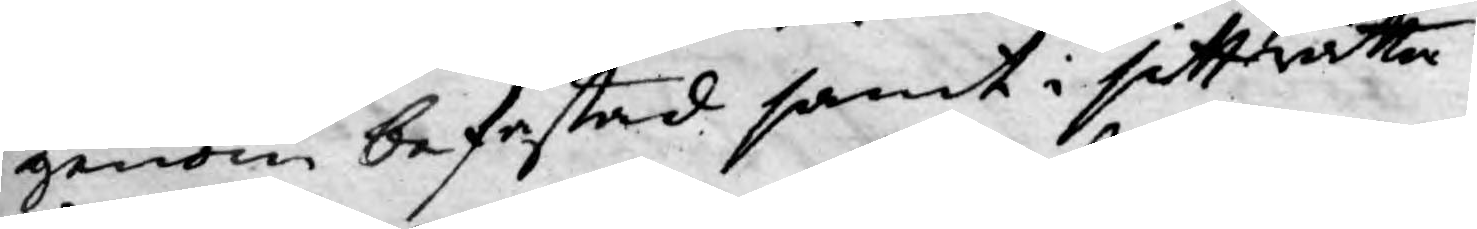genom befästad samt i sitt rätta
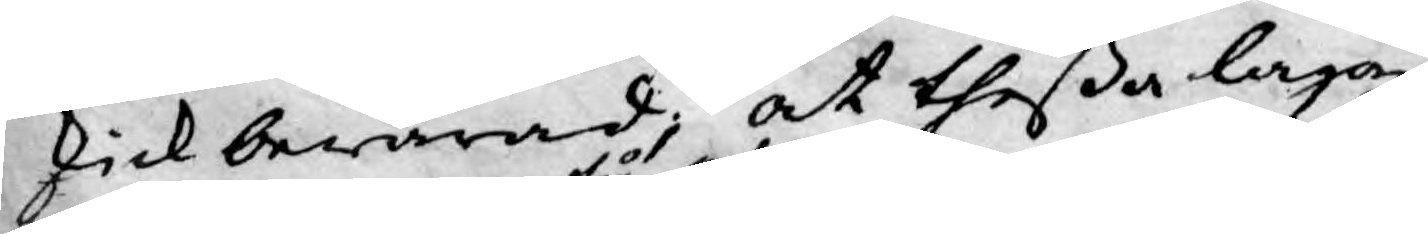skick bewarad, at theßa lagar
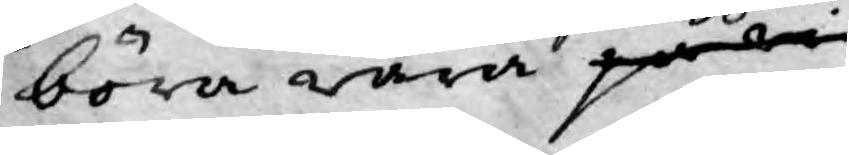böra wara på wi
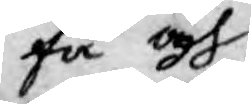få och
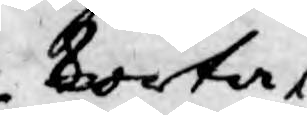korta
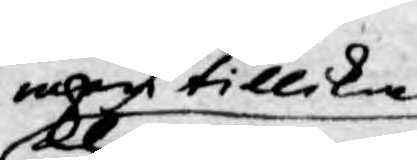men tillika
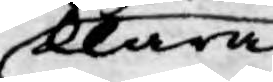klara
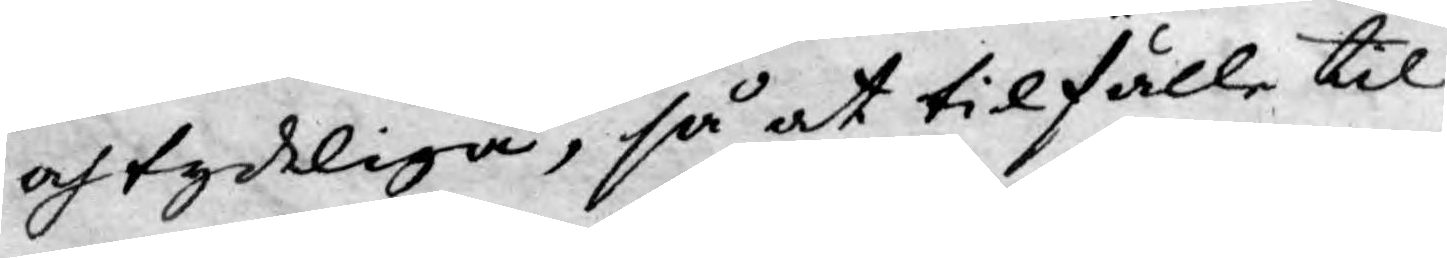och tydeliga, så at tilfälle til
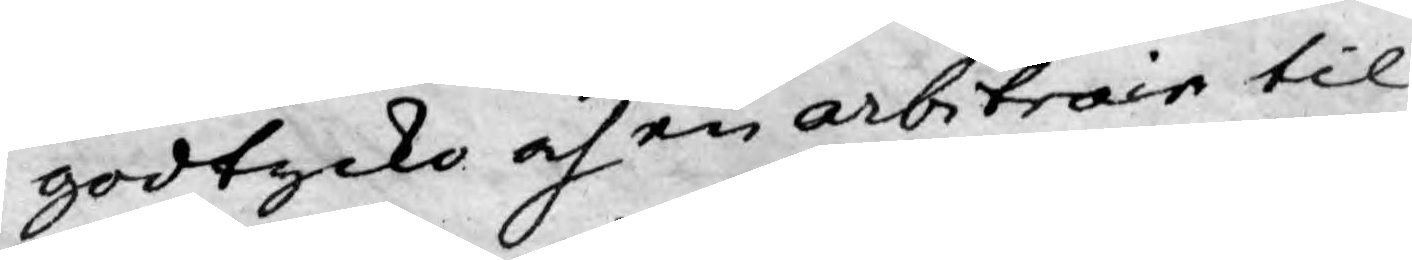godtycko och en arbitrair til¬
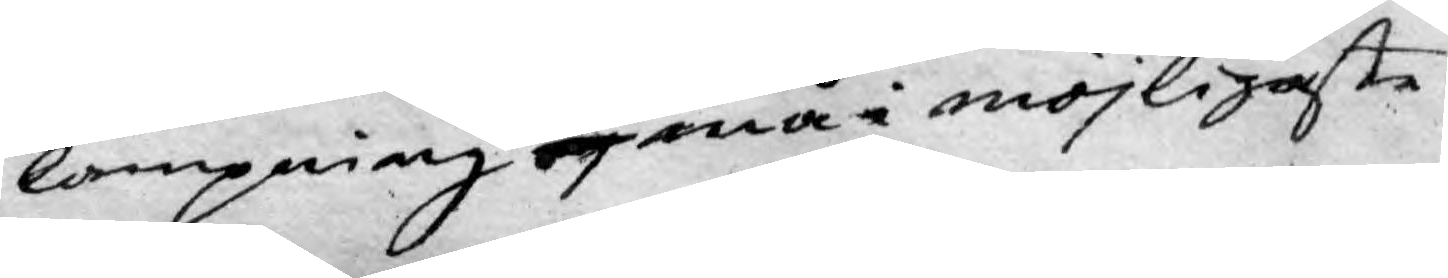lampning ej må i möjligaste
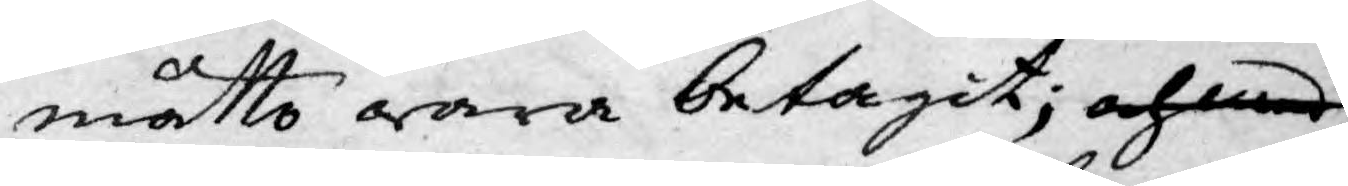måtto wara betagit; och med
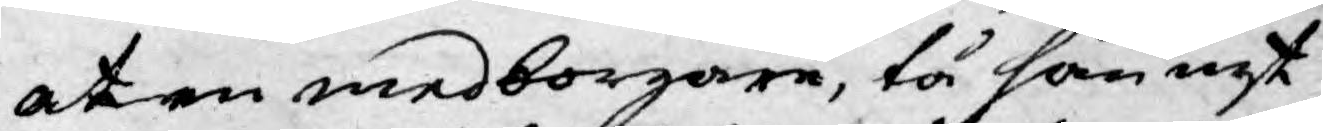at en medborgare, tå han nyt¬
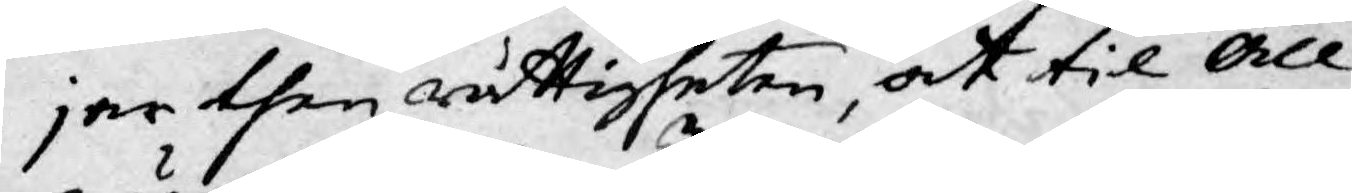jar then rättigheten, at til All¬
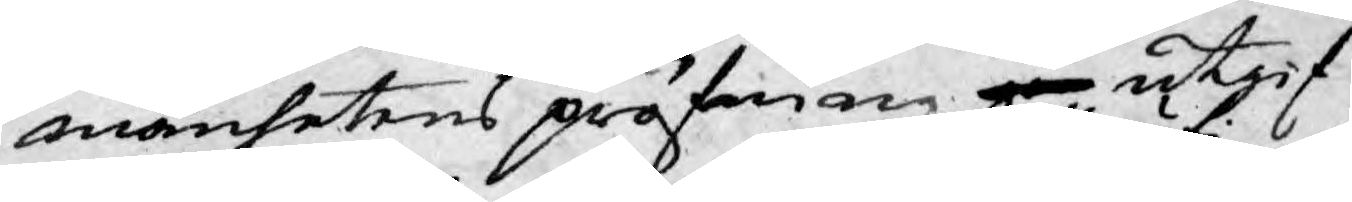mänhetens pröfwing ge utgif¬
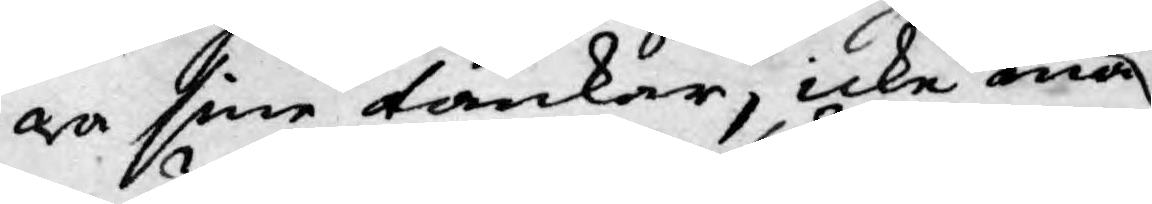wa sine tankar, icke må
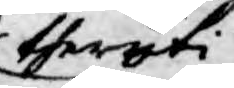theruti
